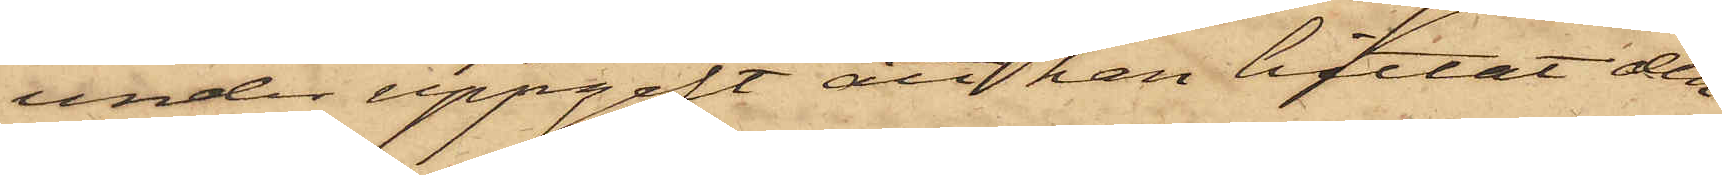under uppgift att han hittat den¬
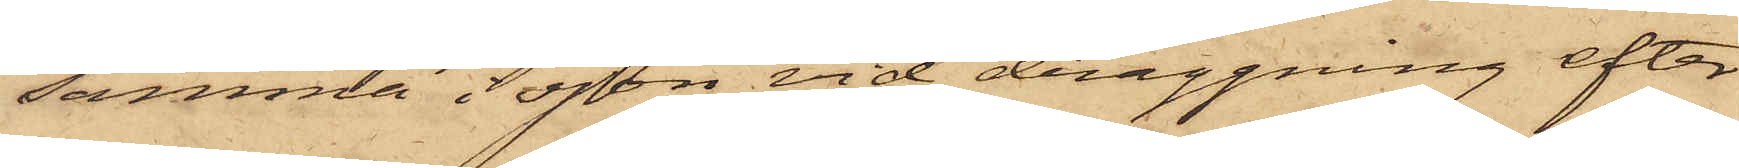samma i sjön vid draggning efter
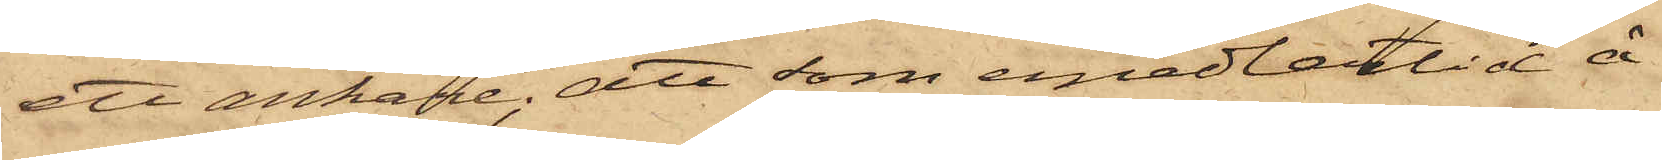ett ankare; att som emedlertid å
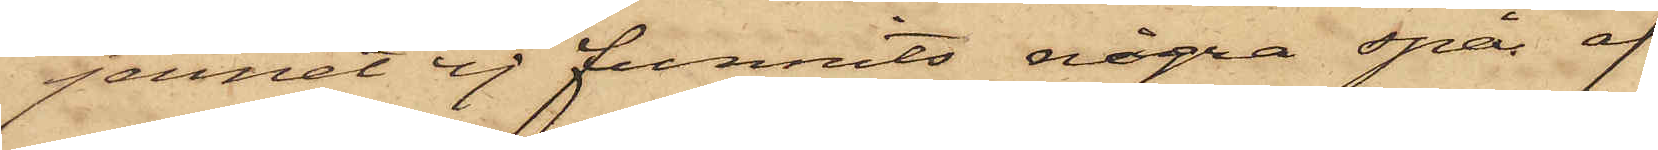jernet ej funnits några spår af
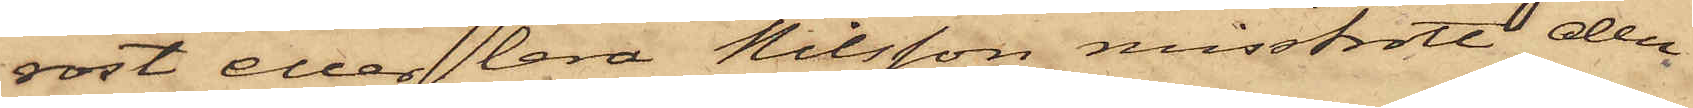rost eller lera Nilsson misstrott den
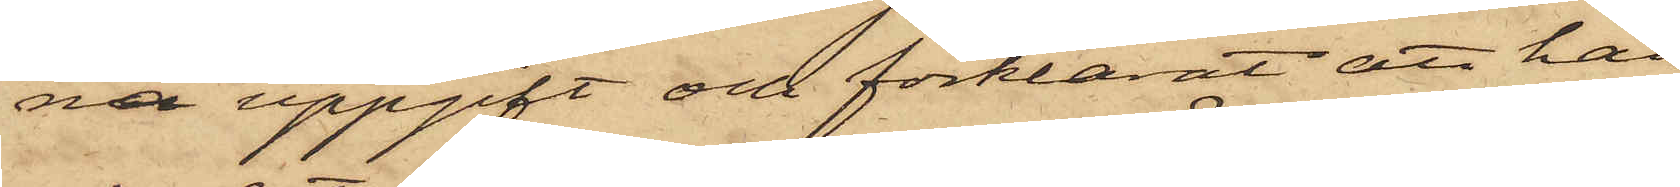na uppgift och förklarat, att han
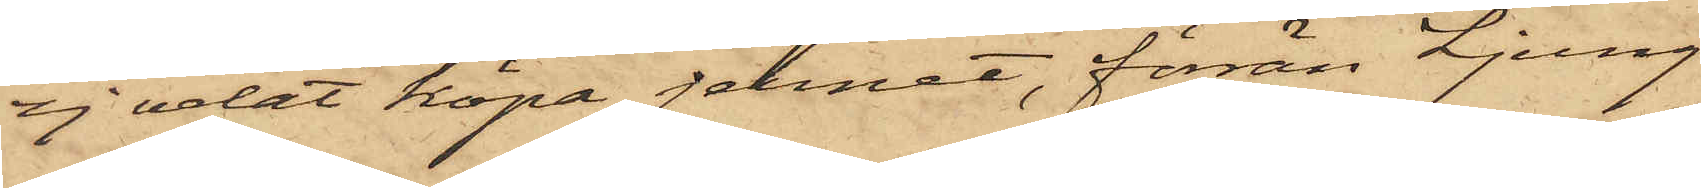ej velat köpa jernet, förrän Ljung¬
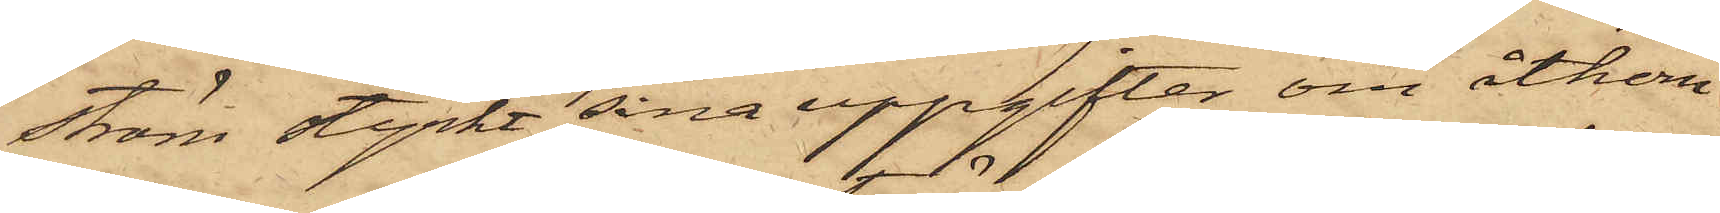ström styrkt sina uppgifter om åtkom¬
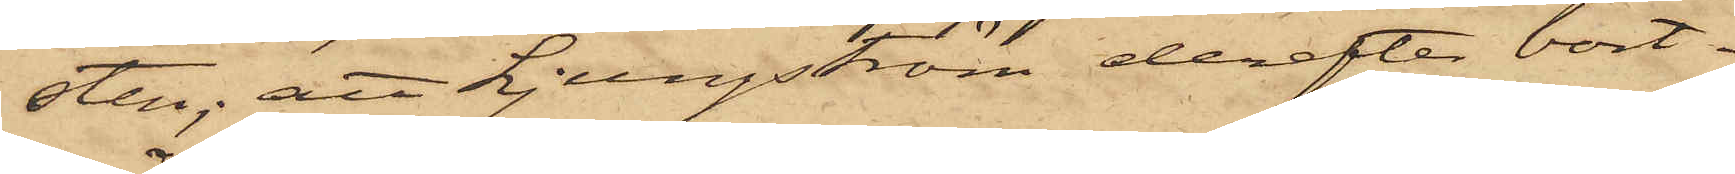sten; att Ljungström derefter bort¬
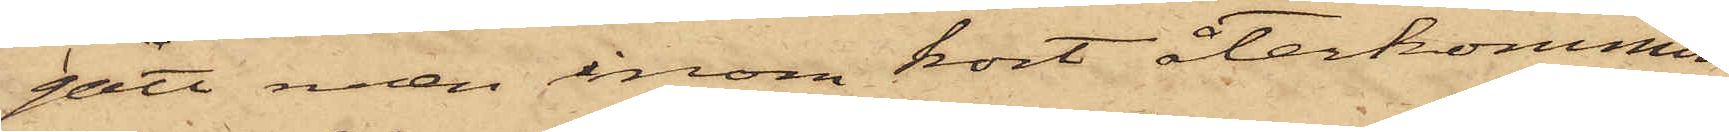gått men inom kort återkommit
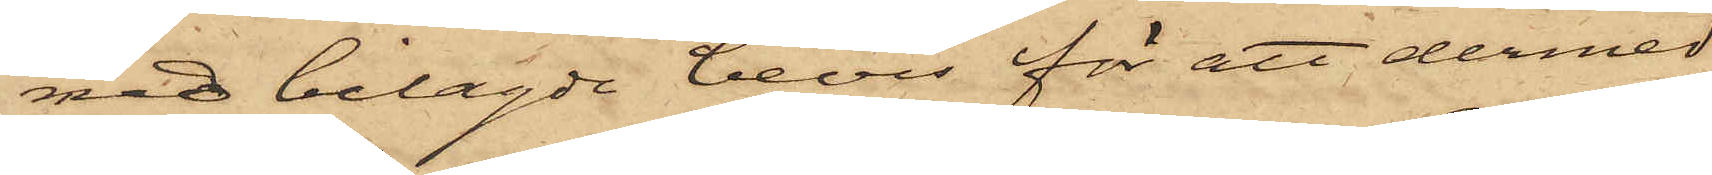med bilagde bevis för att dermed
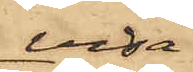visa
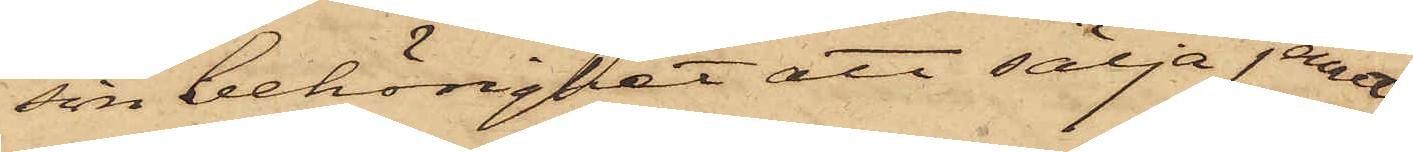sin behörighet att sälja jernet;
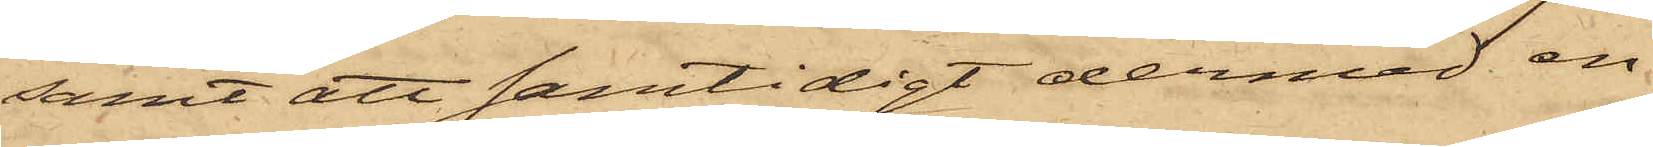samt att samtidigt dermed en
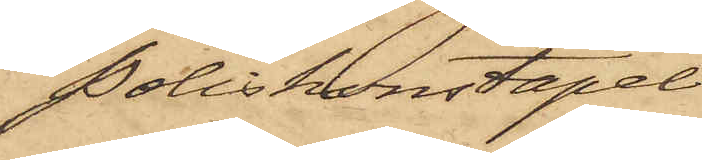Poliskonstapel
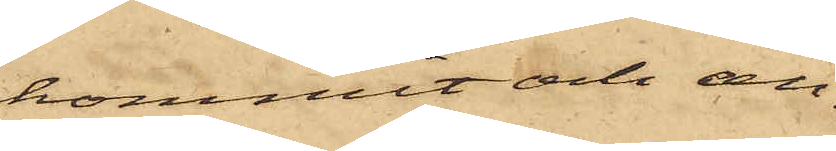kommit och an¬
